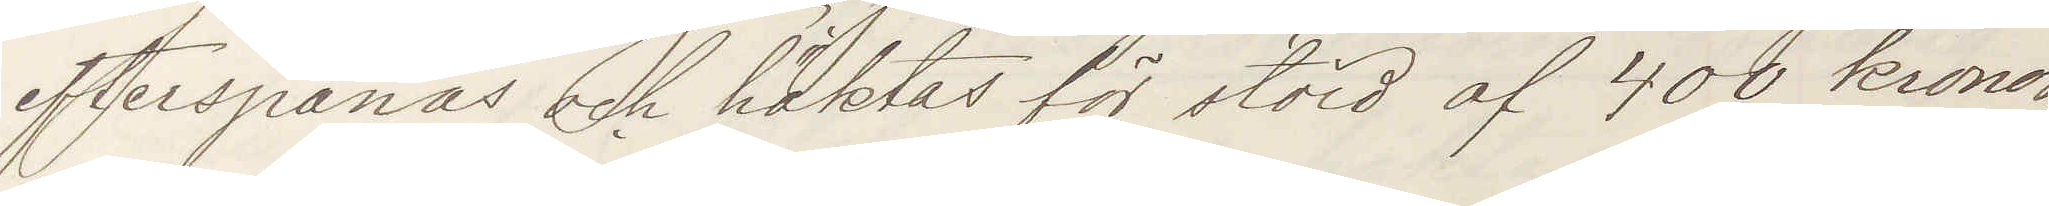efterspanas och häktas för stöld af 400 kronor,
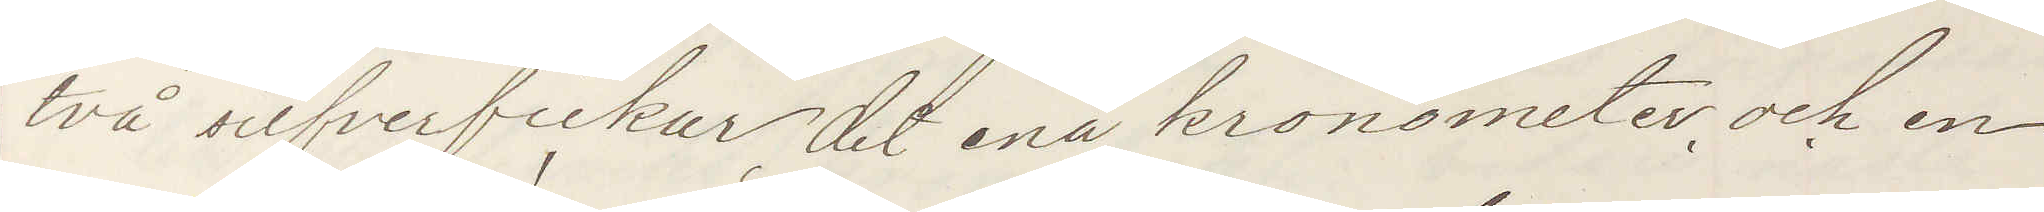två silfverfickur, det ena kronometer och en
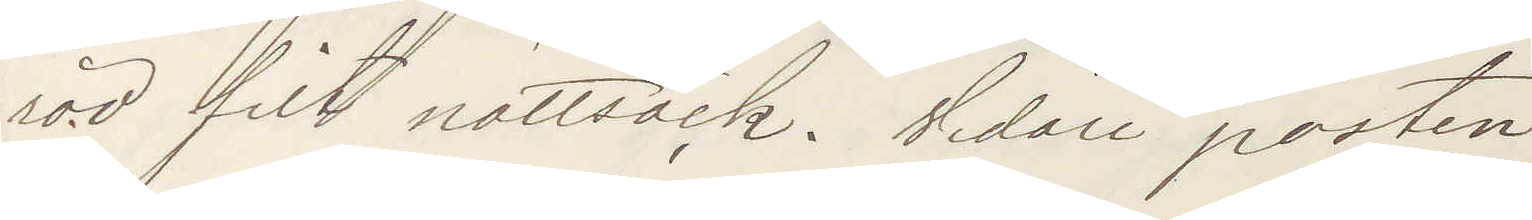röd filt nattsäck. Vidare posten.
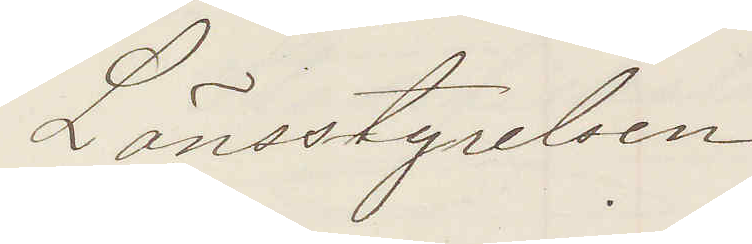Länsstyrelsen
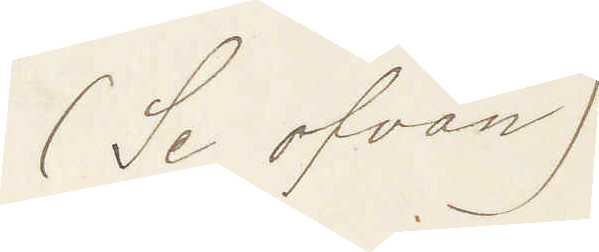(Se ofvan)
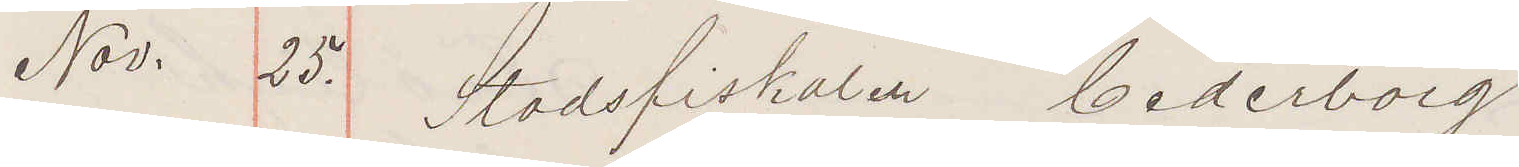Nov. 25. Stadsfiskalen Cederborg
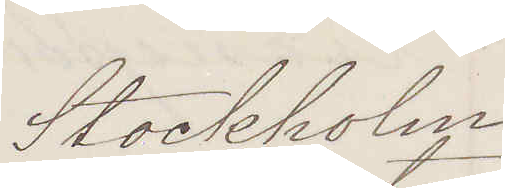Stockholm
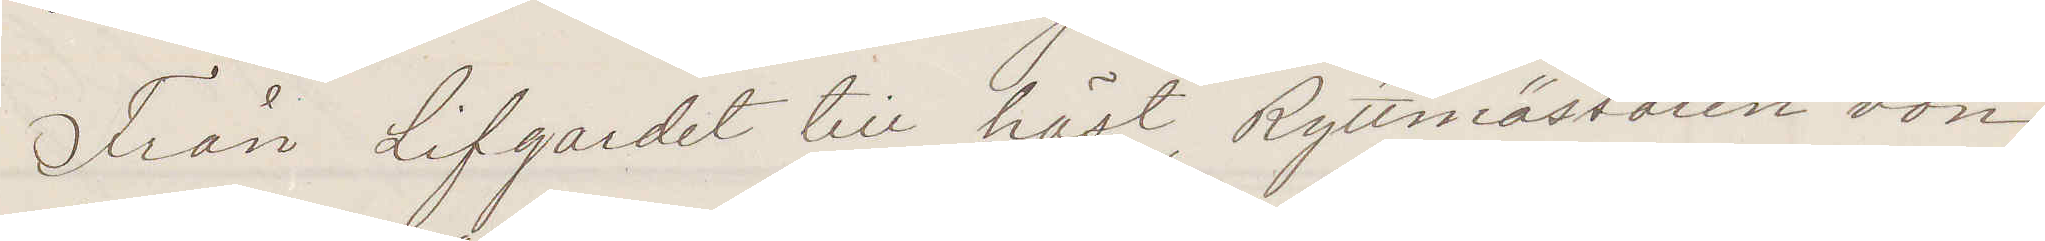Från Lifgardet till häst, Ryttmästaren von
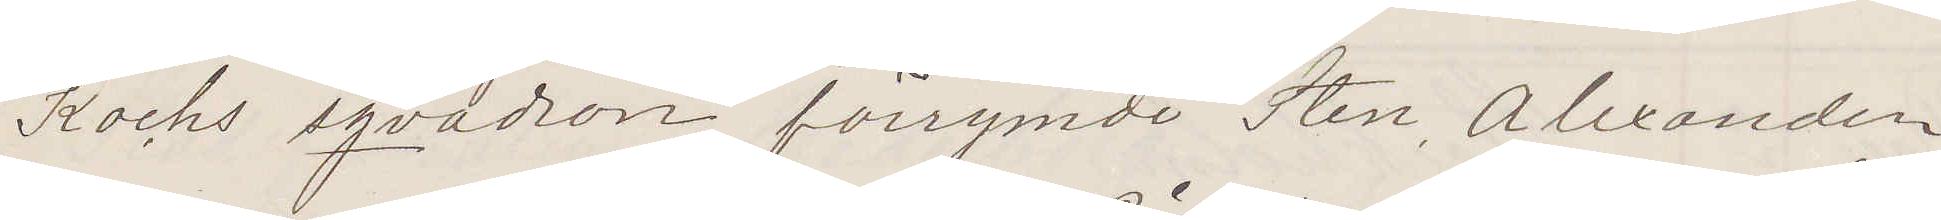Kochs sqvadron förrymde Sten Alexander
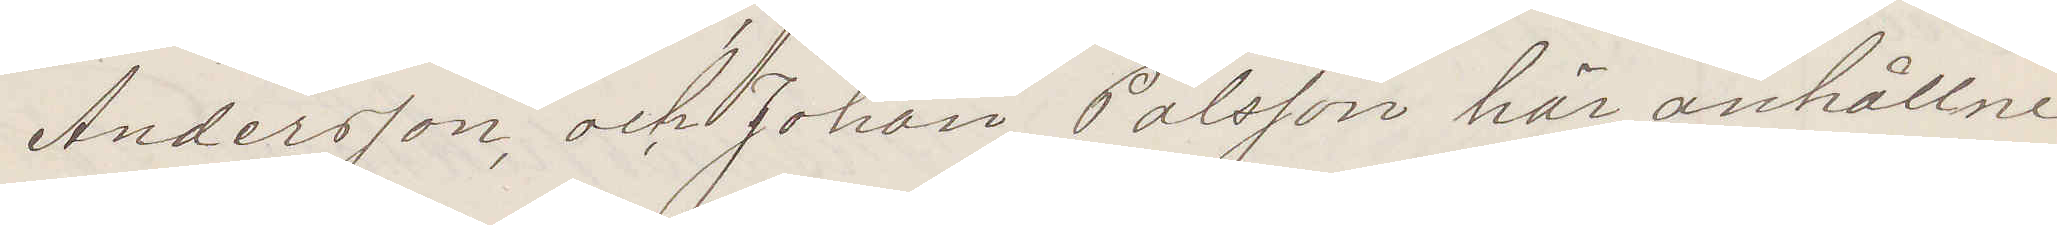Andersson, och Johan Pålsson här anhållne
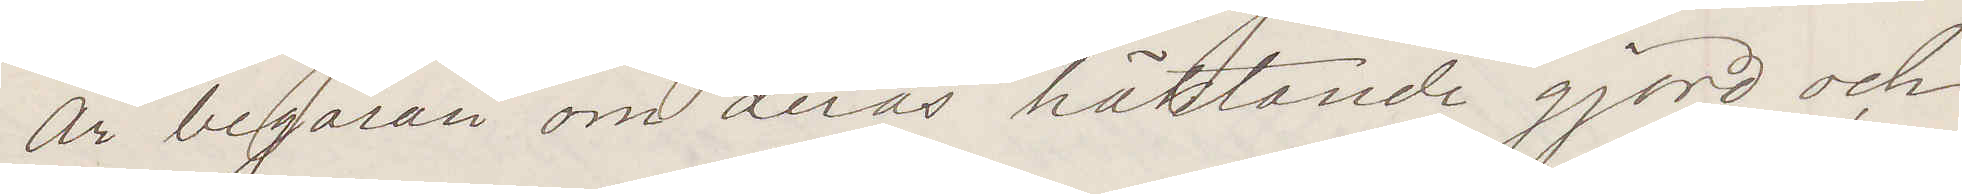Är begäran om deras häktande gjord och
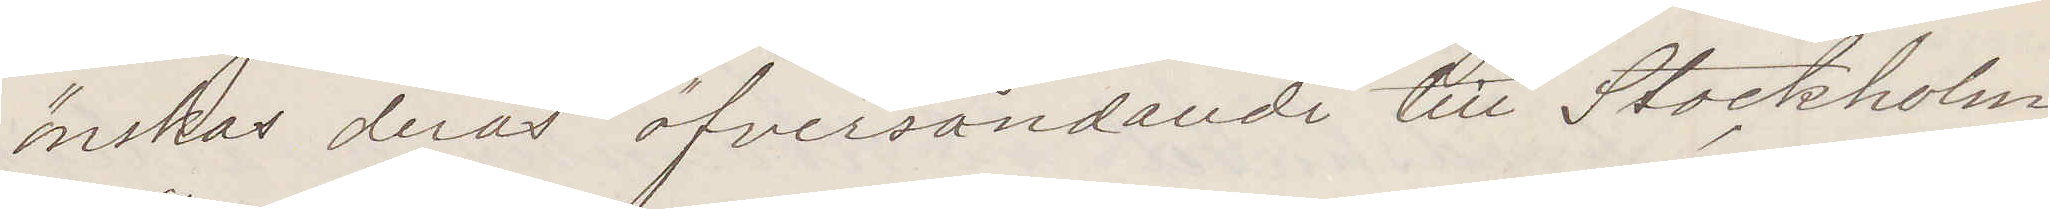önskas deras öfversändande till Stockholm
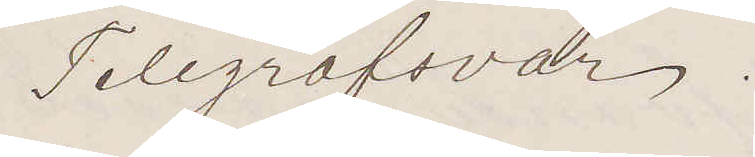Telegrafsvar.
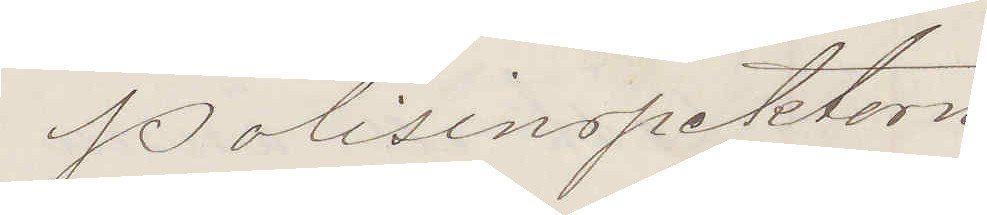Polisinspektorn
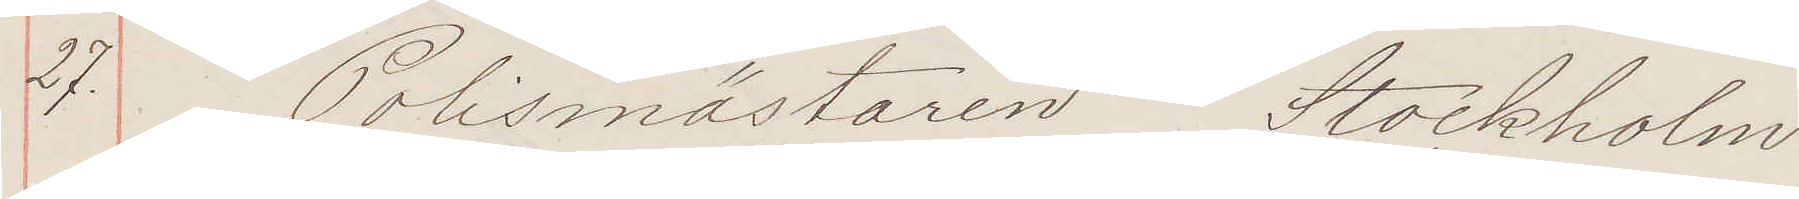27. Polismästaren Stockholm
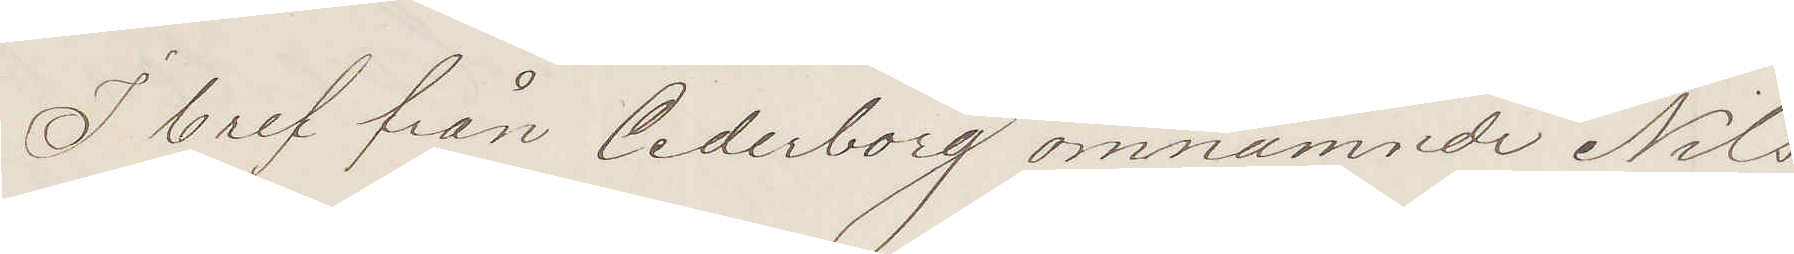I bref från Cederborg omnämnde Nils
